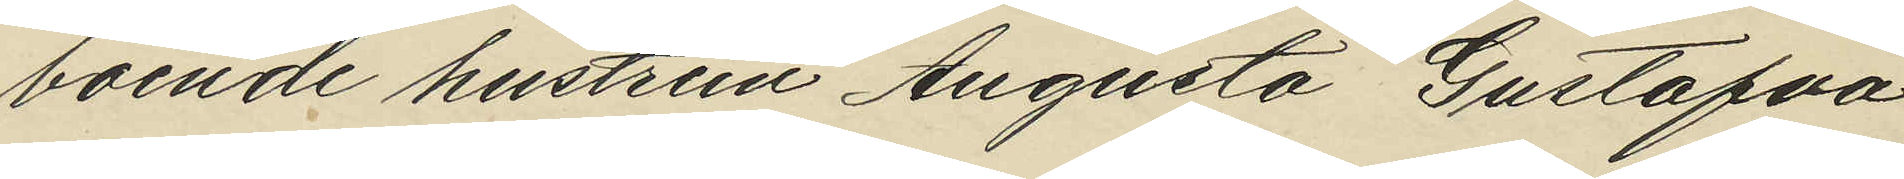boende hustrun Augusta Gustafva
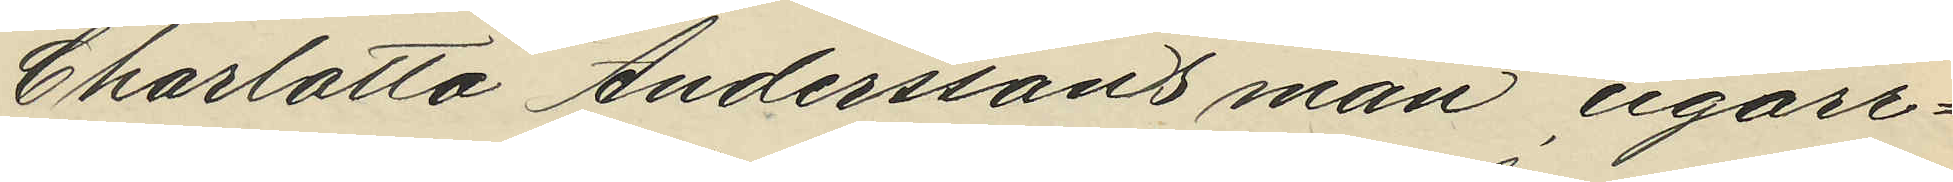Charlotta Anderssons man cigarr¬
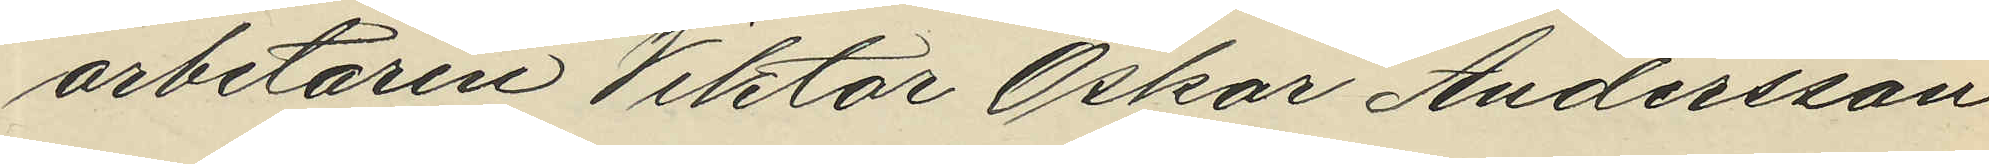arbetaren Viktor Oskar Andersson
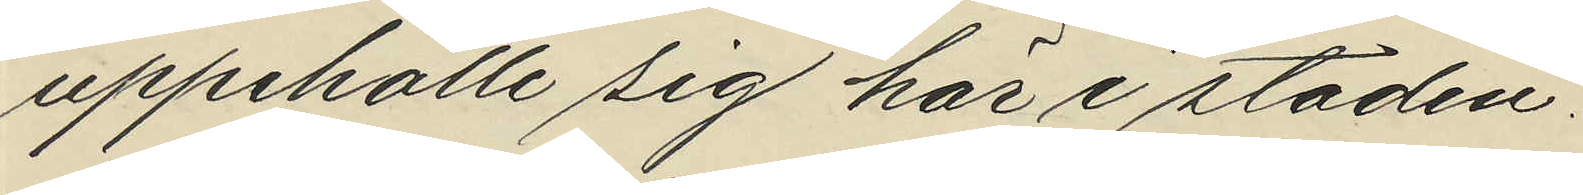uppehölle sig här i staden.
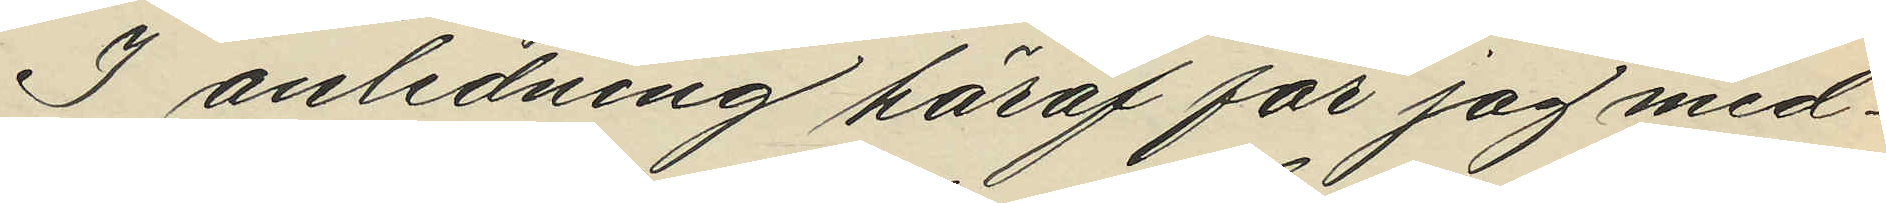I anledning häraf får jag med¬
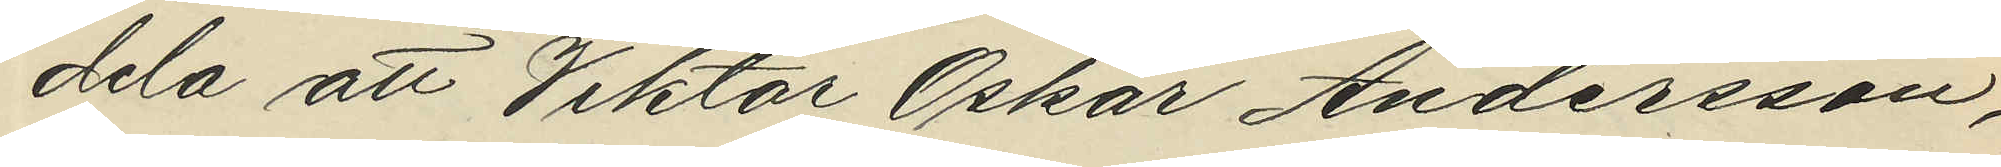dela att Viktor Oskar Andersson,
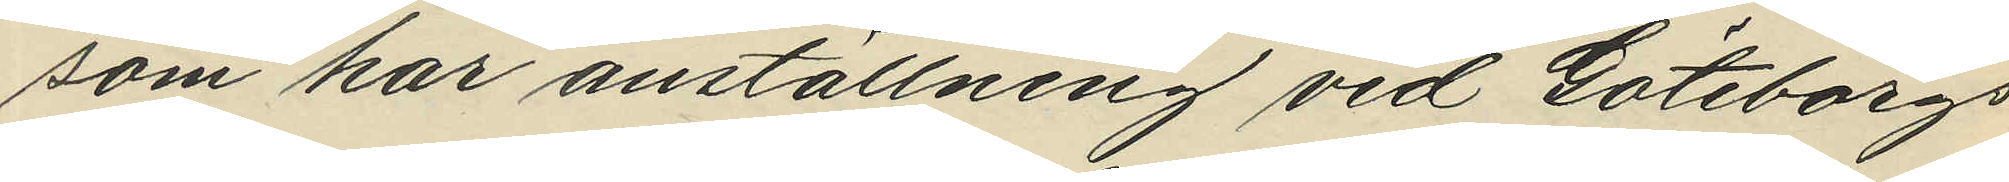som har anställning vid Göteborgs
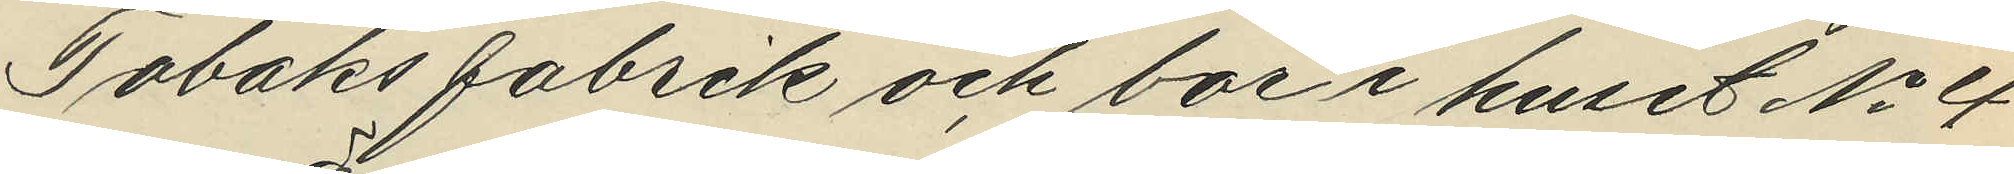Tobaks fabrik och bor i huset No 4
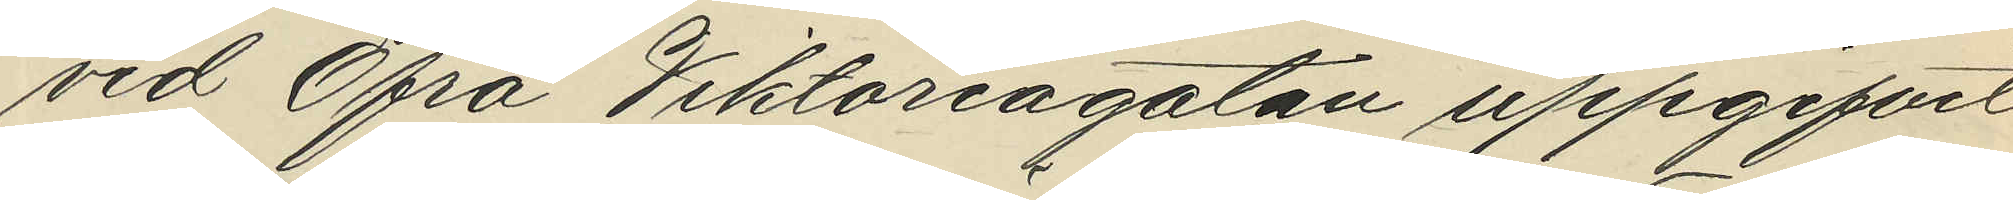vid Öfra Viktoriagatan uppgifvit
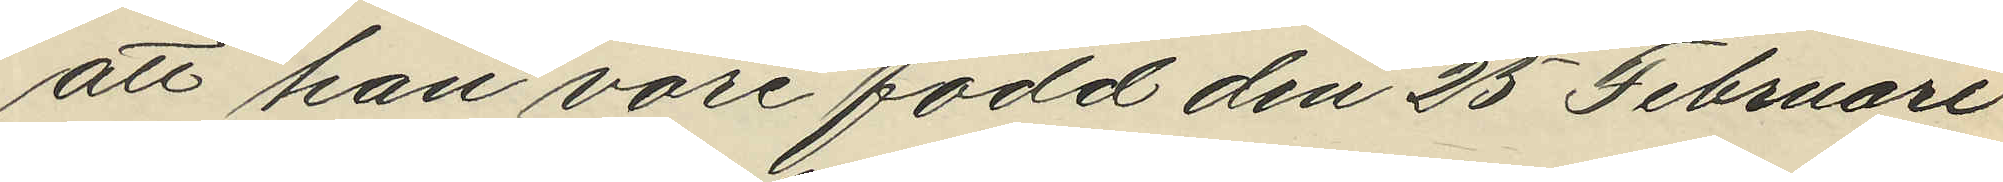att han vore född den 25 Februari
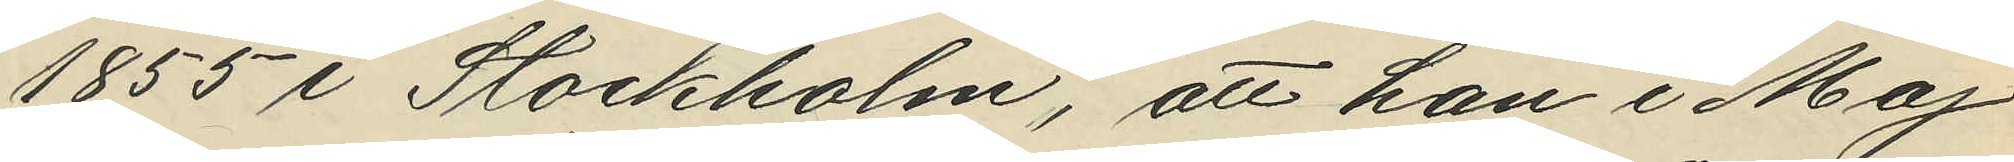1855 i Stockholm, att han i Maj
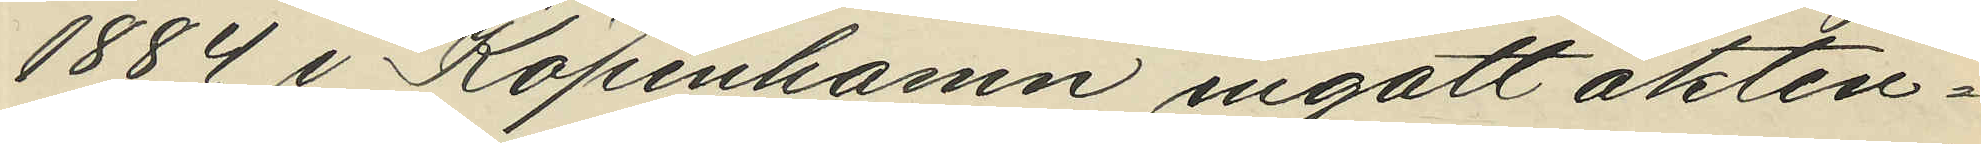1884 i Köpenhamn ingått äkten¬
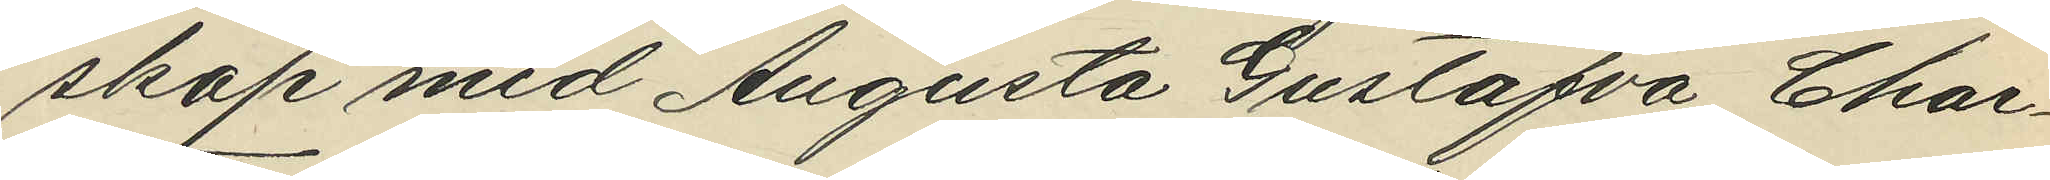skap med Augusta Gustafva Char¬
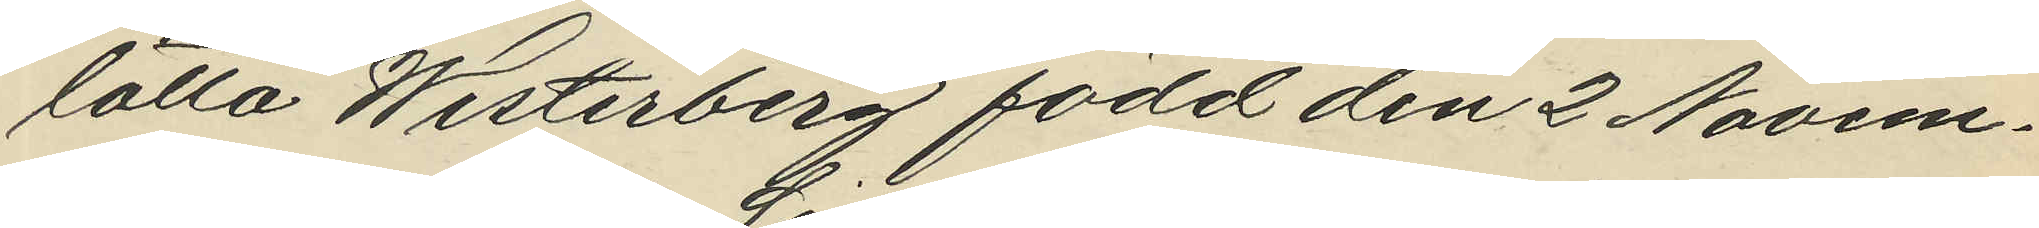lotta Westerberg född den 2 Novem¬
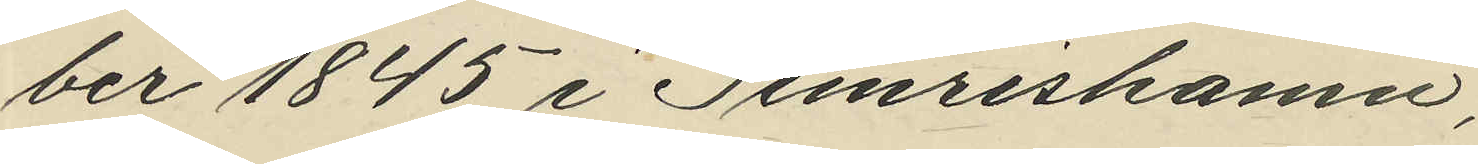ber 1845 Simrishamn;
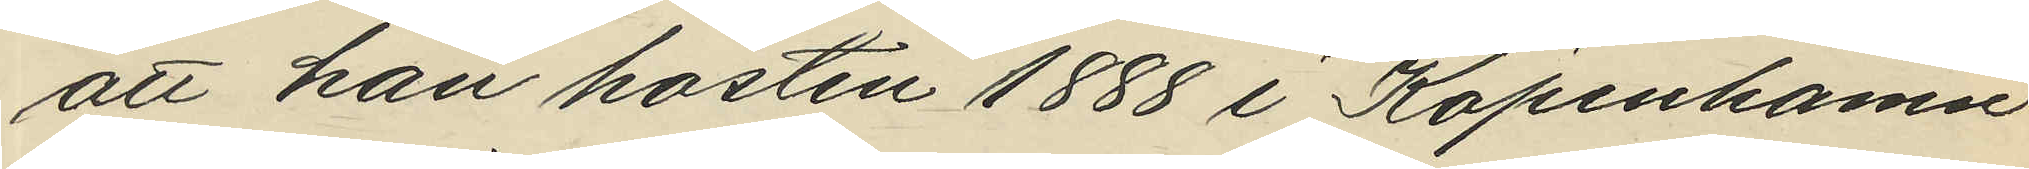att han hösten 1888 i Köpenhamn
